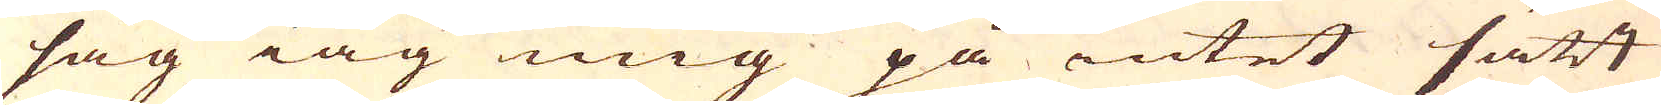såg iag mig på intet sätt
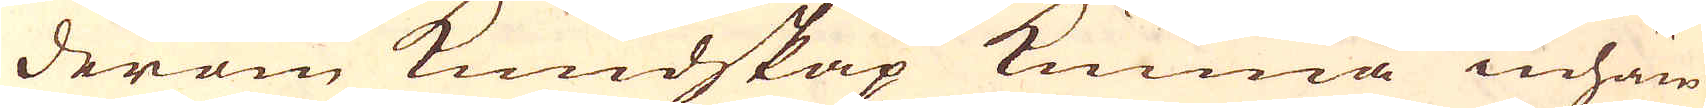derom Kundskap kunna inhäm-
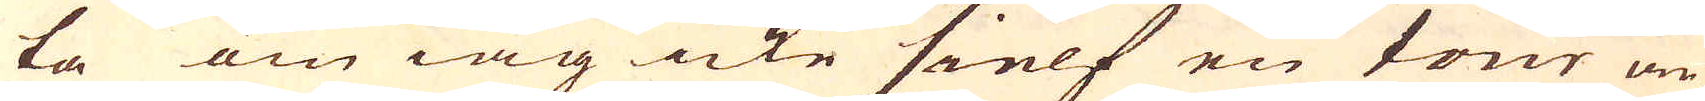ta om iag icke sielf en tour om-
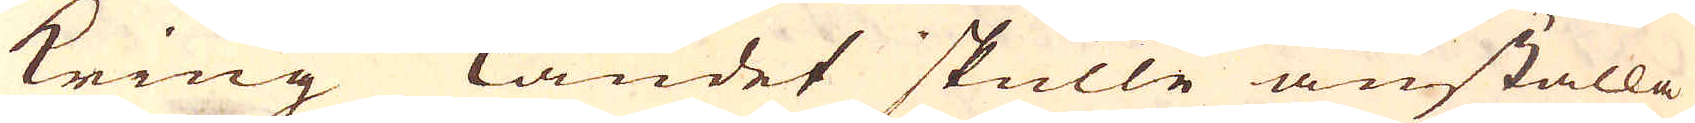kring landet skulle anställa
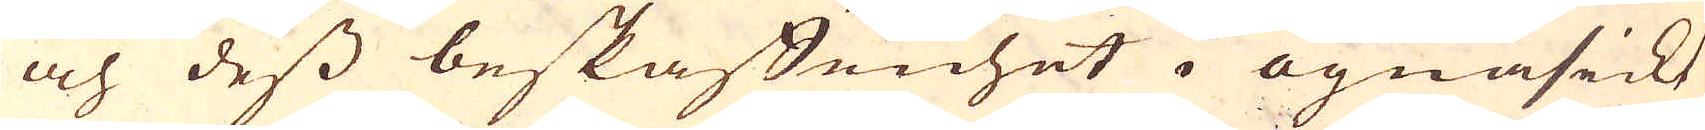och dess beskaffenhet i ögnasickt
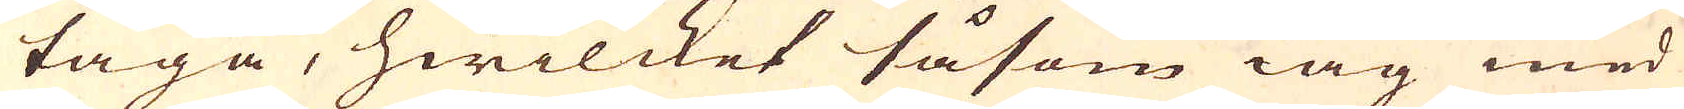taga, hwilcket såsom iag med
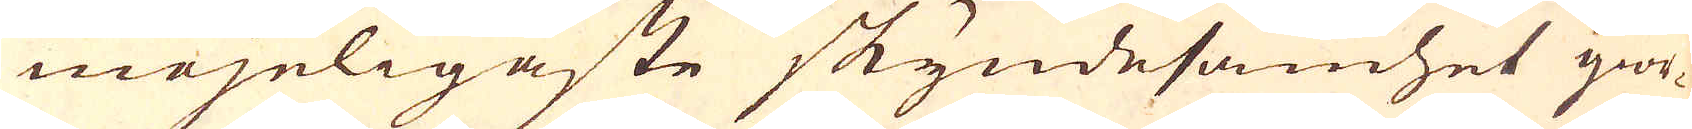möjeligaste skyndesamhet gior-
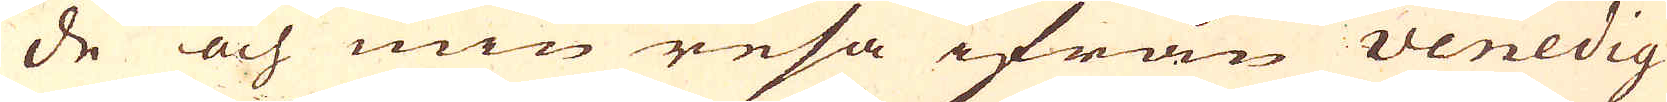de och min resa ifrån Venedig
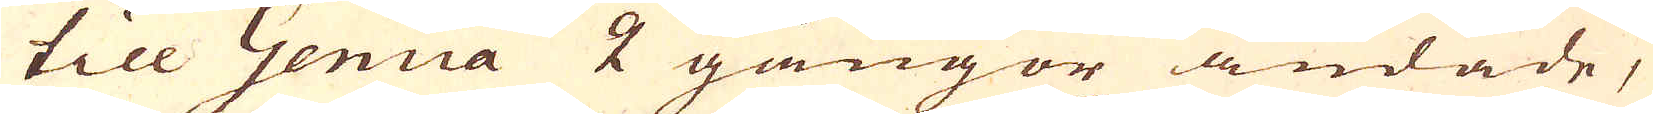till Genua 2 gångor ändade,
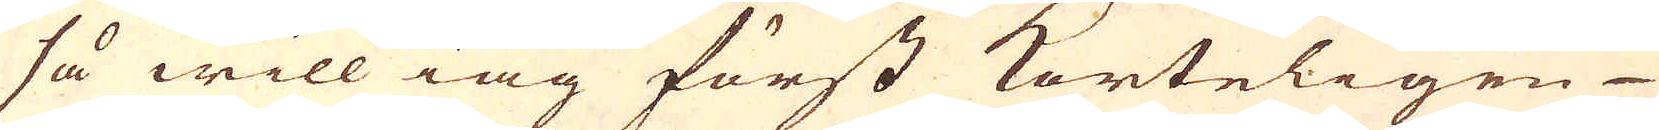så will iag först Korteligen
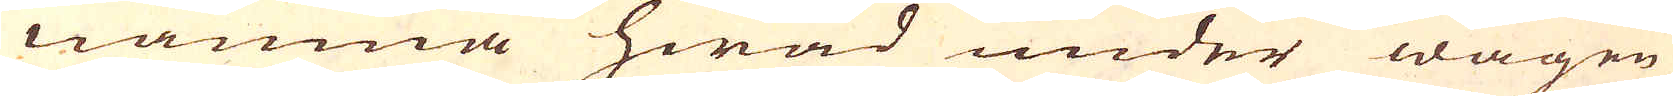nämna hwad under wägen
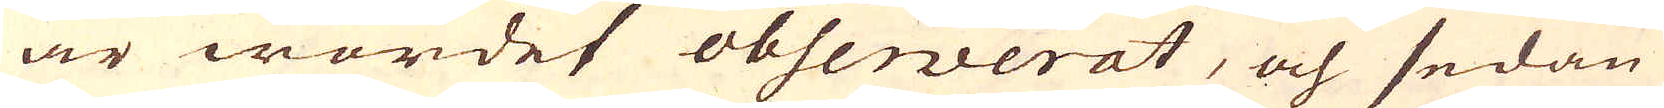är wordet observerat, och sedan
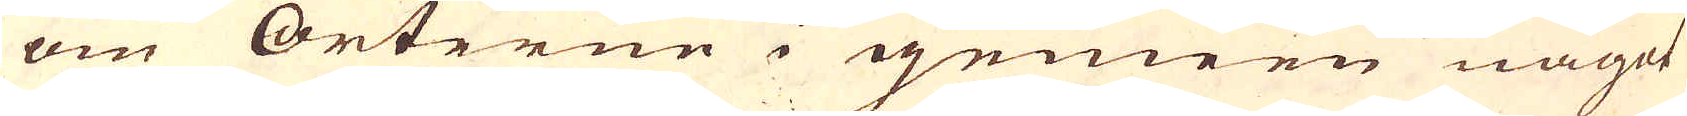om Orterne i igemeen något
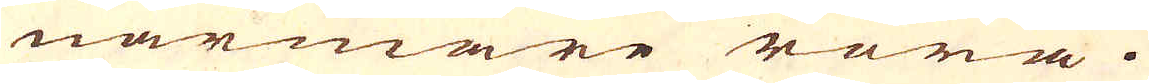närmare röra.
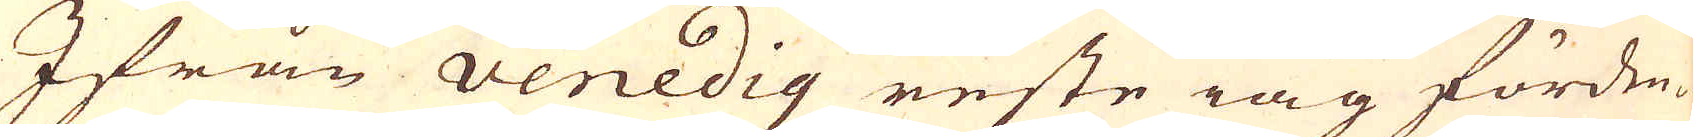Ifrån Venedig reste iag förden-
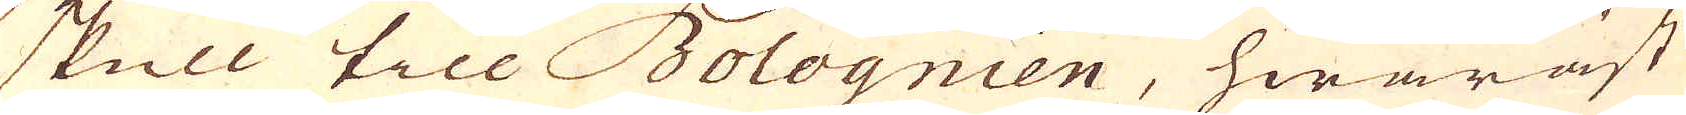skull till Bolognien, hwaräst
